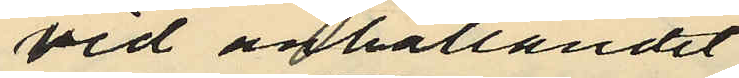vid anhållandet
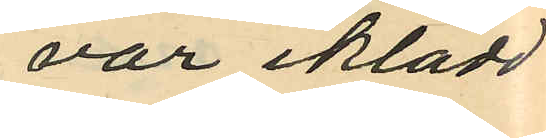var iklädd
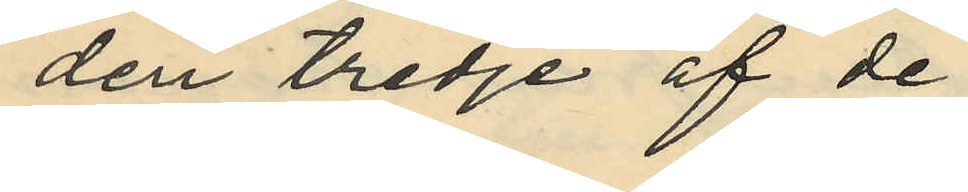den tredje af de
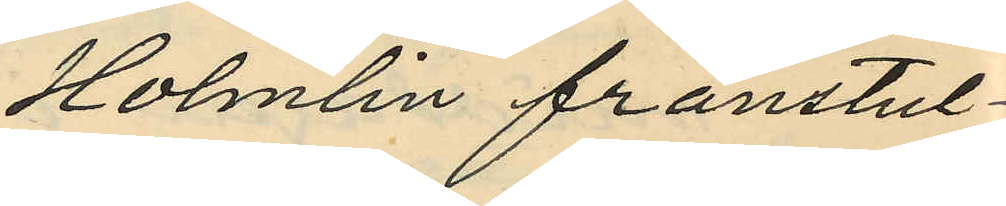Holmlin frånstul¬
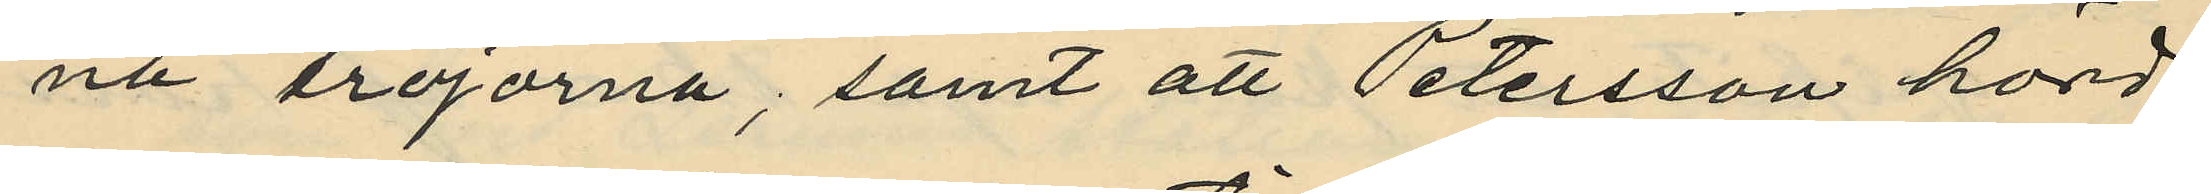na tröjorna; samt att Petersson hörd
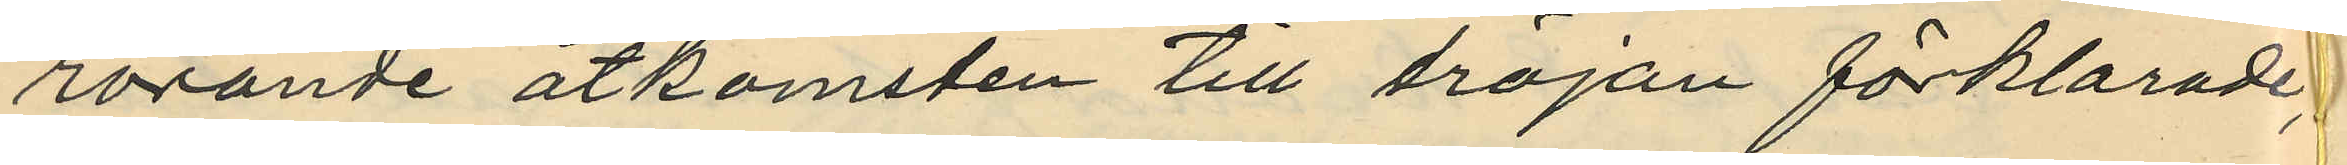rörande åtkomsten till tröjan förklarade,
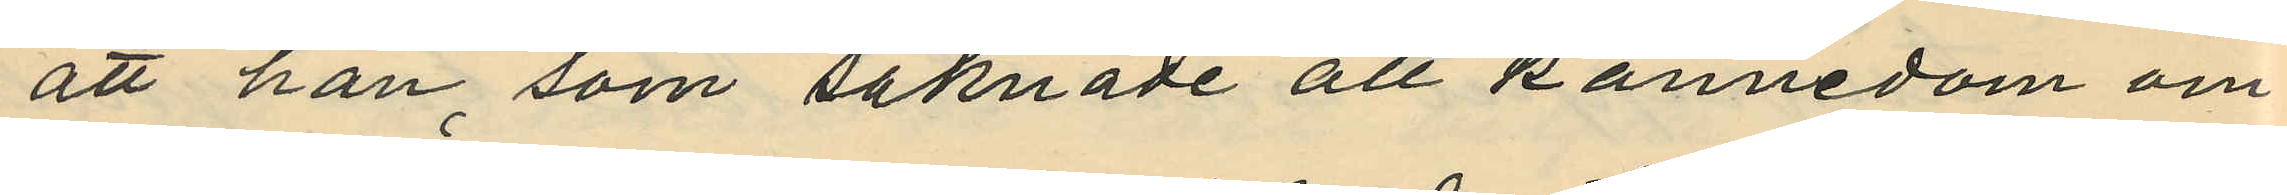att han, som saknade all kännedom om
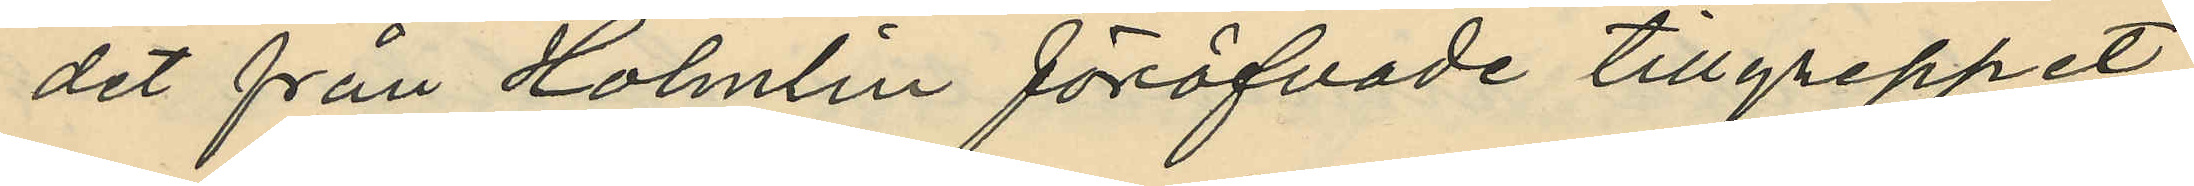det från Holmlin föröfvade tillgreppet,
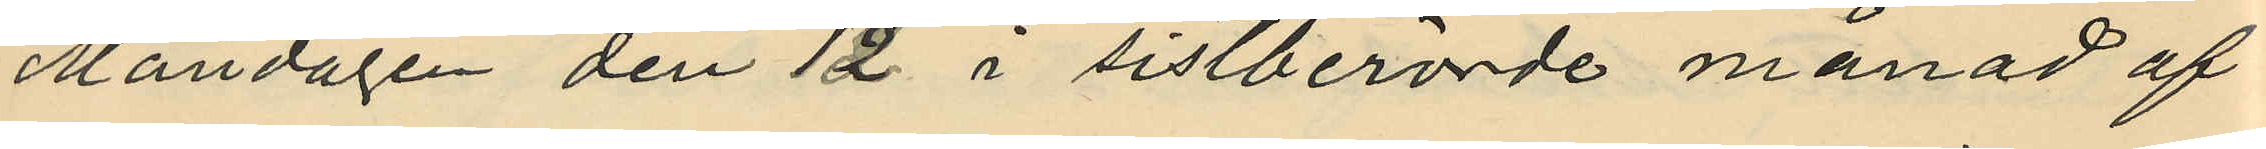Måndagen den 12 i sistberörde månad af
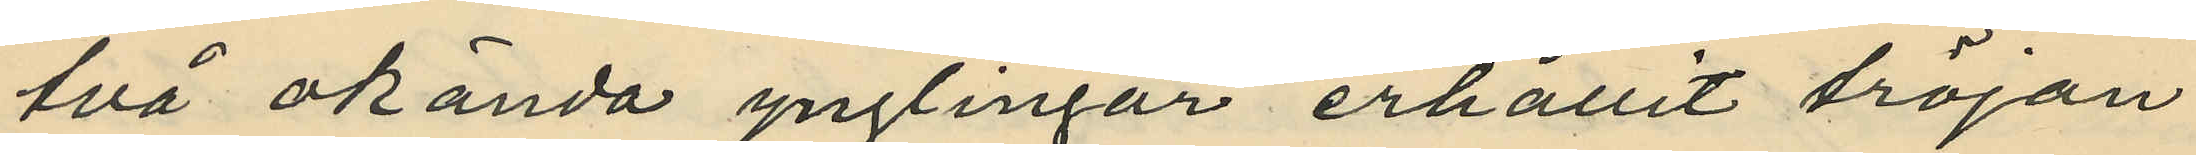två okända ynglingar erhållit tröjan
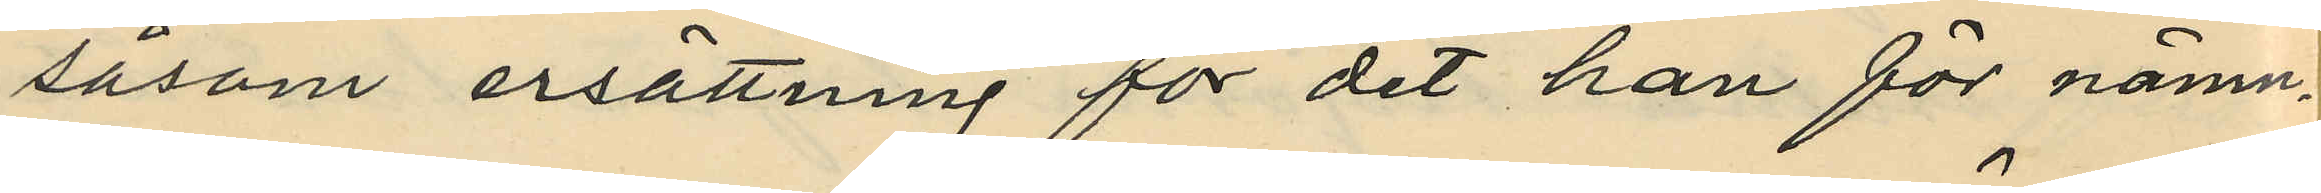såsom ersättning för det han för nämn¬
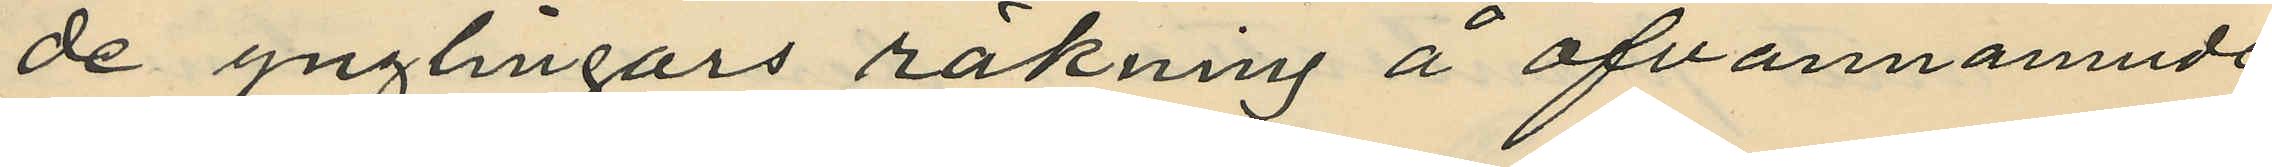de ynglingars räkning å ofvannämnde
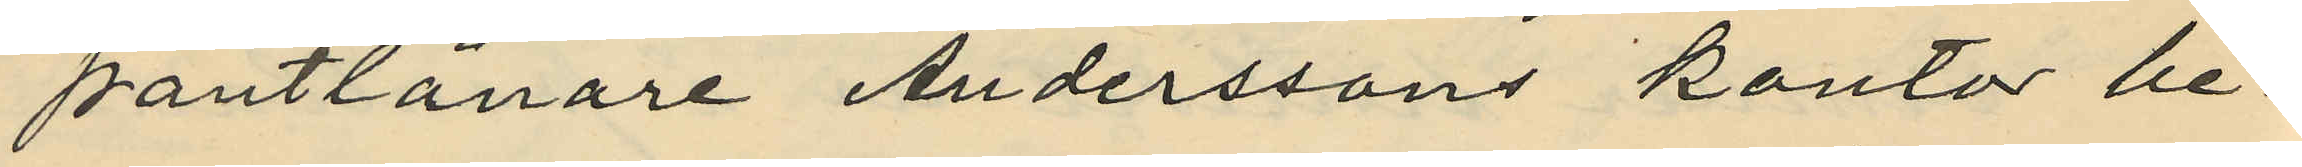pantlånare Anderssons kontor be¬
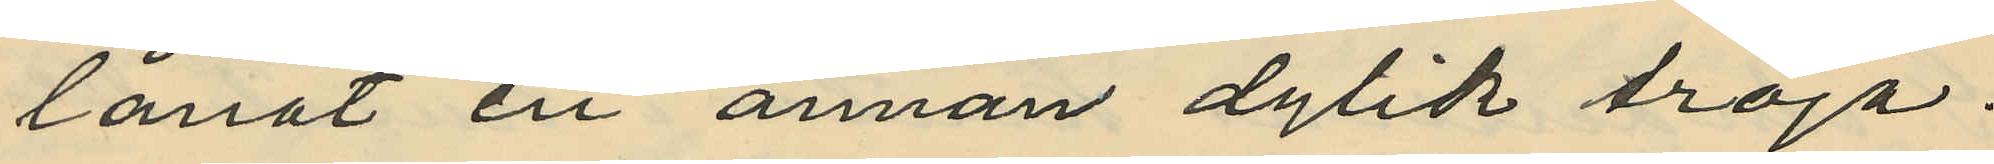lånat en annan dylik tröja.
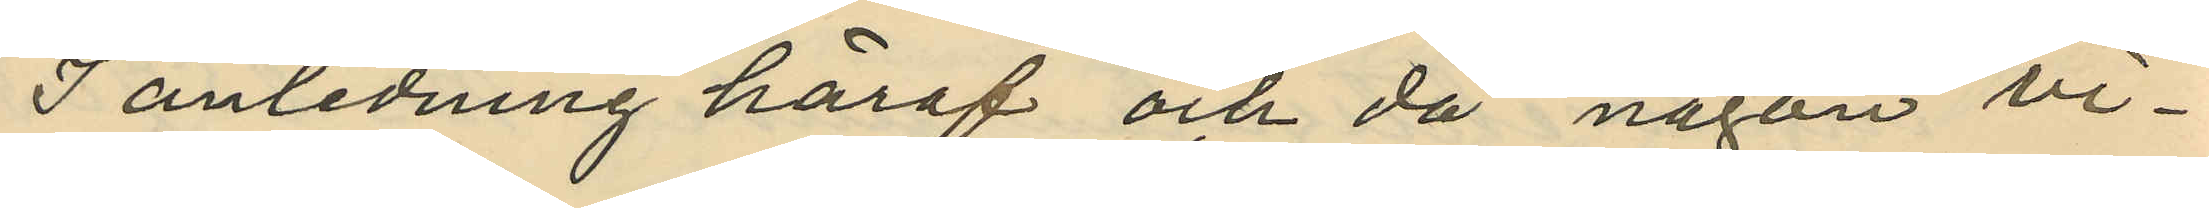I anledning häraf och då någon vi¬
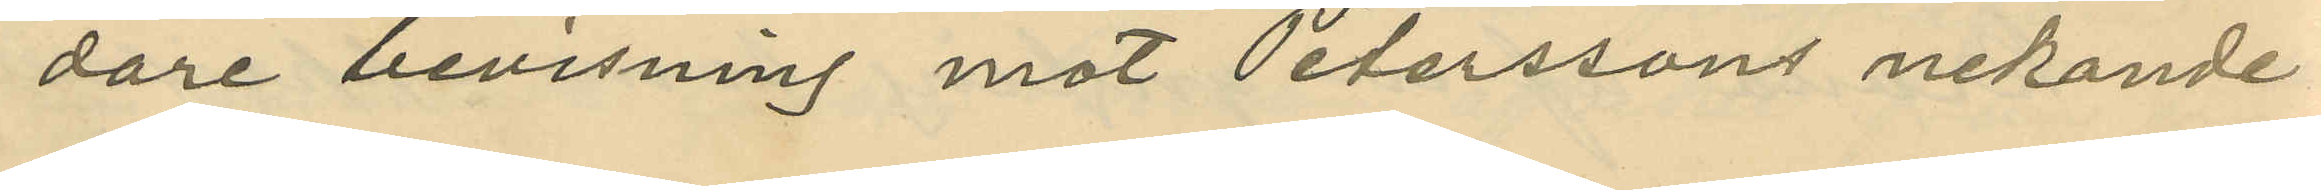dare bevisning mot Peterssons nekande
